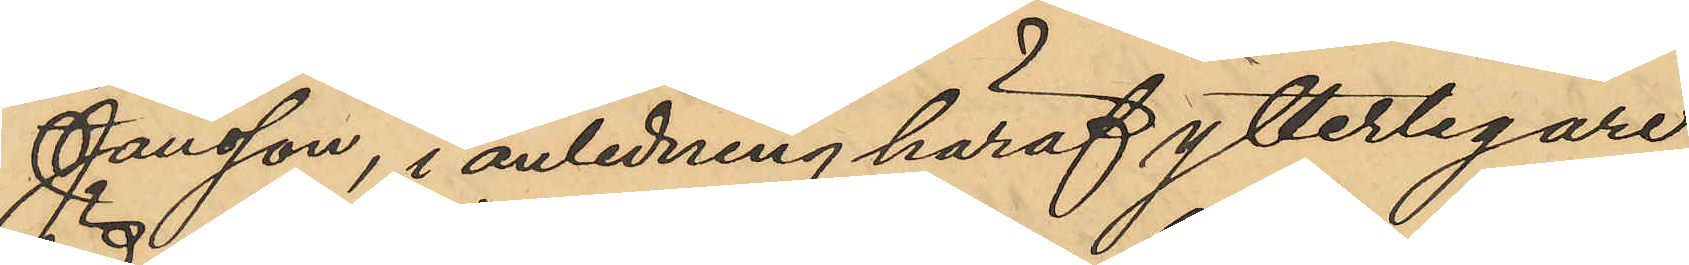Jansson, i anledning häraf ytterligare
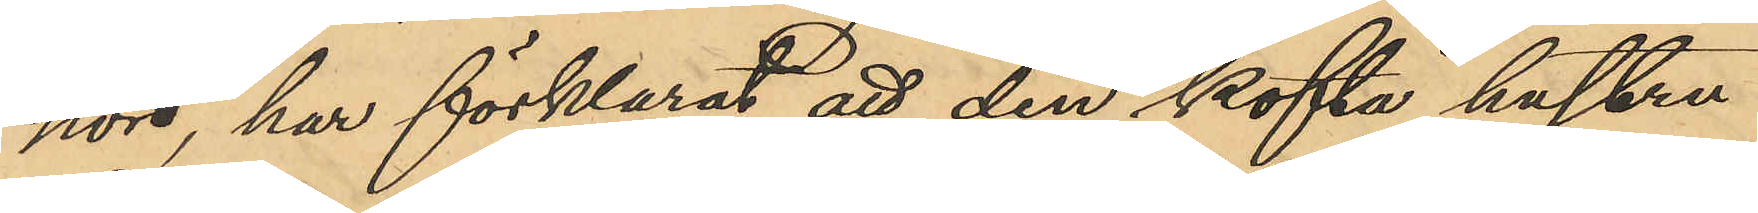hörd, har förklarat att den kofta hustru
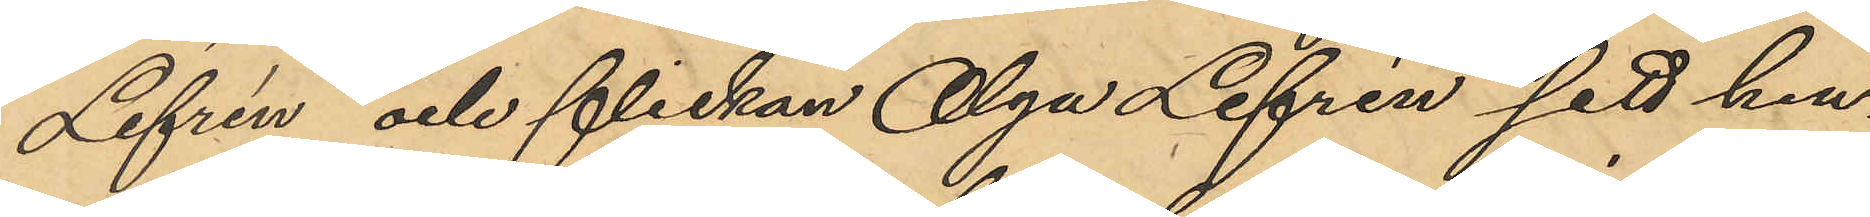Lefrén och flickan Olga Lefrén sett hen¬
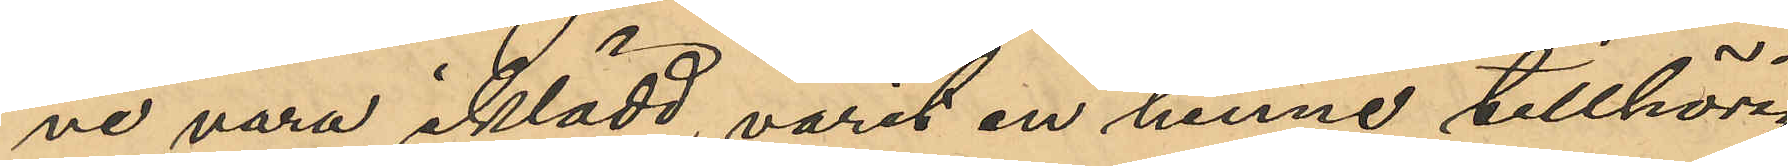ne vara iklädd varit en henne tillhörig
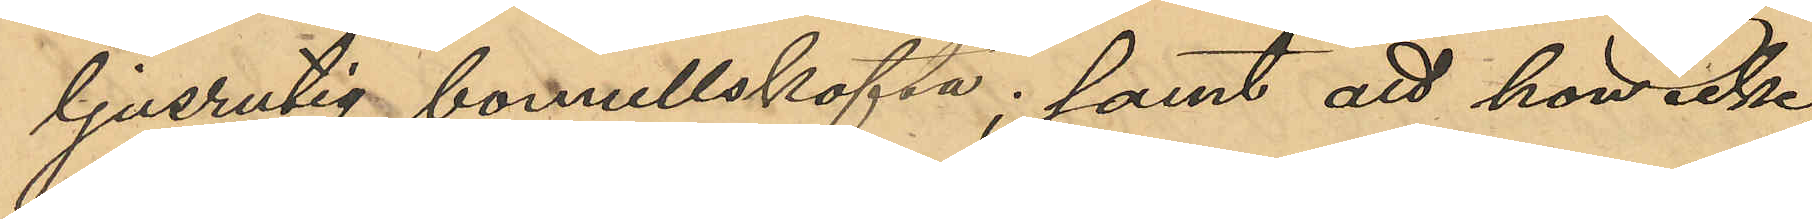ljusrutig bomullskofta; samt att hon icke,
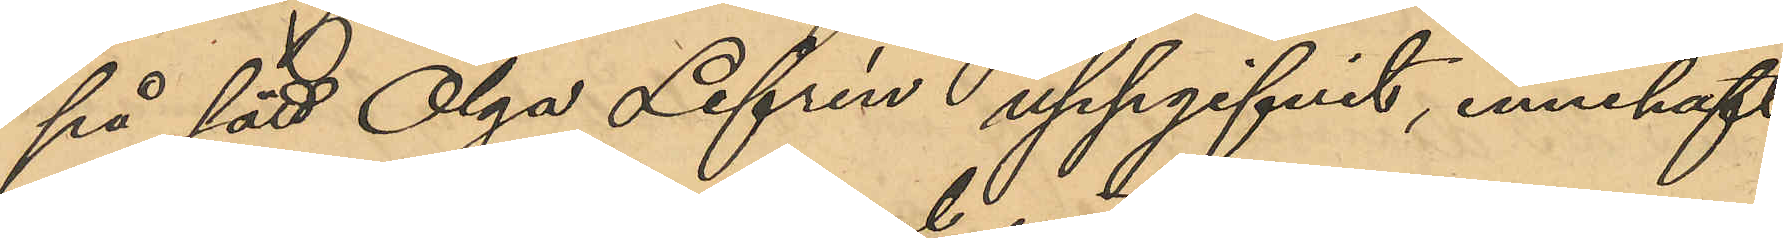på sätt Olga Lefrén uppgifivt, innehaft
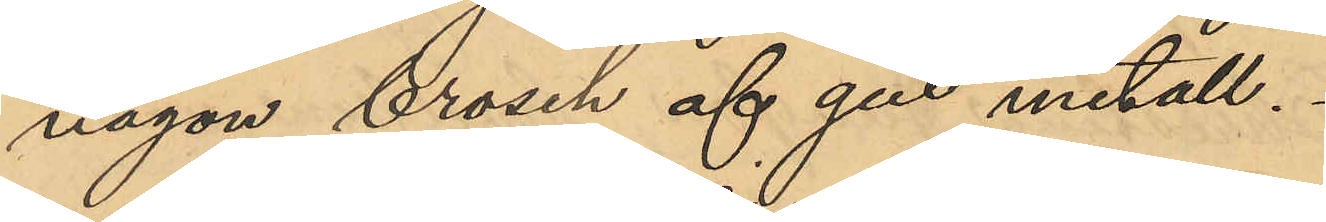någon brosch af gul metall.
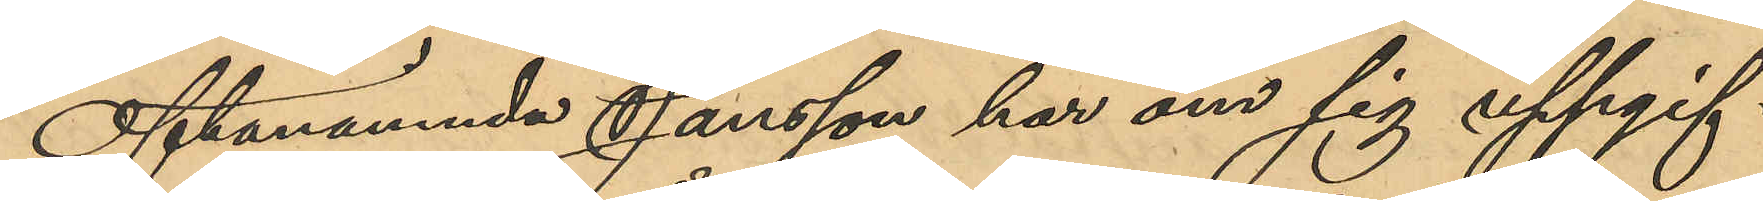Oftanämnda Jansson har om sig uppgif¬
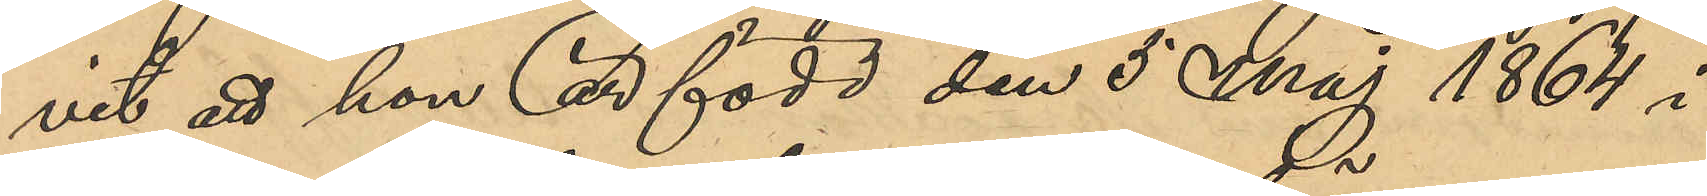vit att hon är född den 5 Maj 1864 i
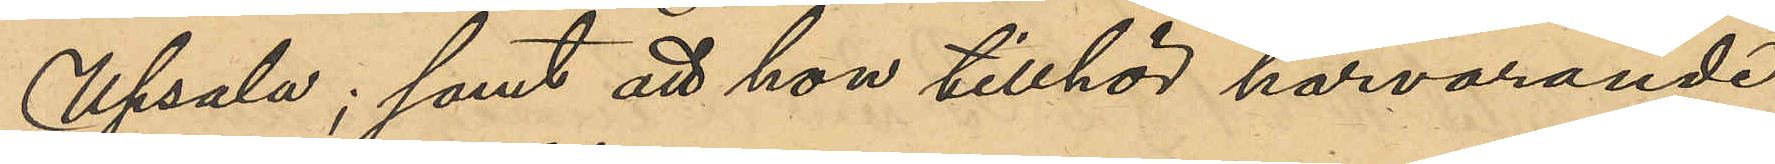Upsala; samt att hon tillhör härvarande
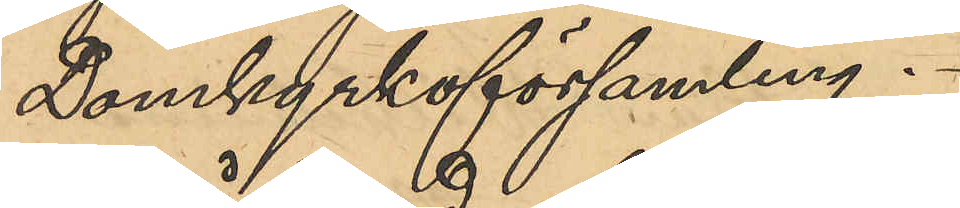Domkyrkoförsamling.
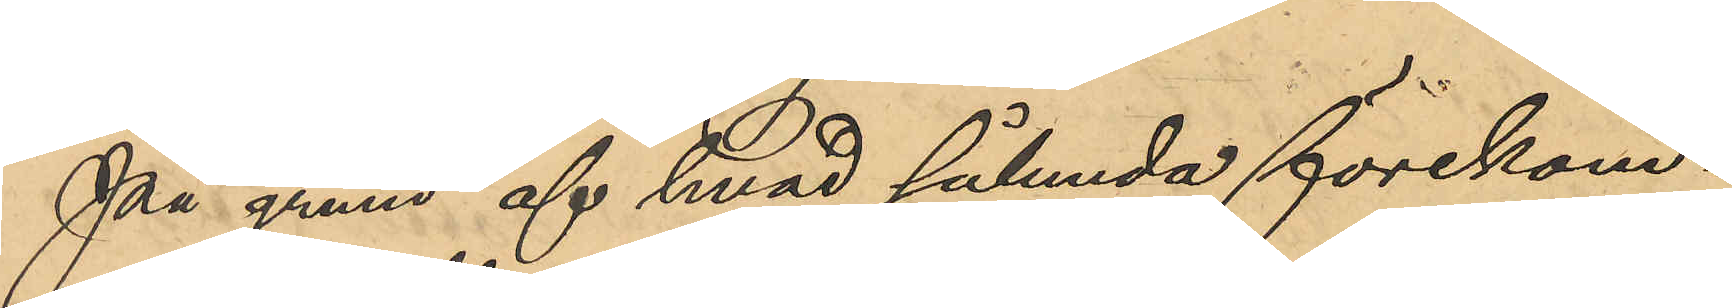På grund af hvad sålunda förekom¬
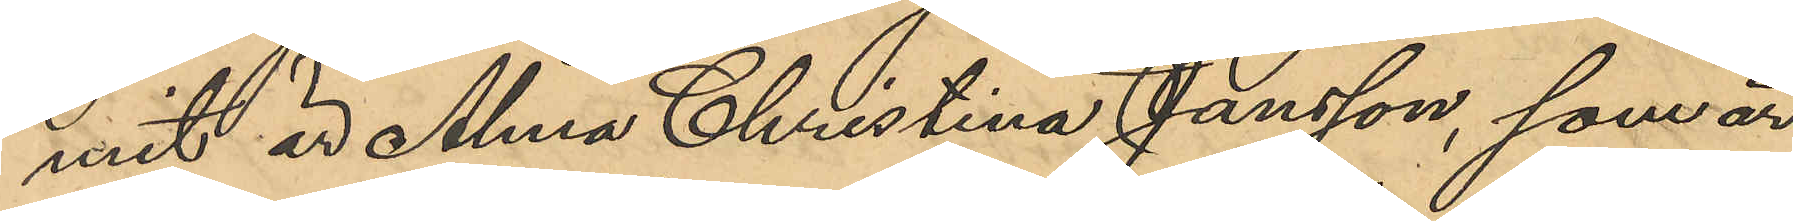mit är Alma Christina Jansson, som är
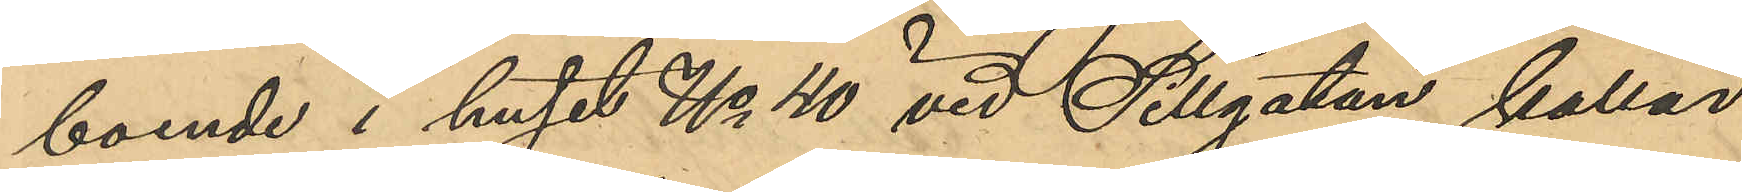boende i huset No 40 vid Sillgatan, kallad
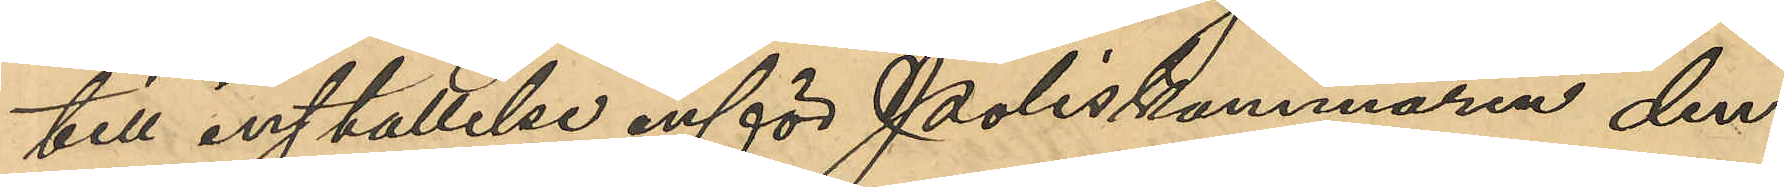till inställelse inför Poliskammaren den¬
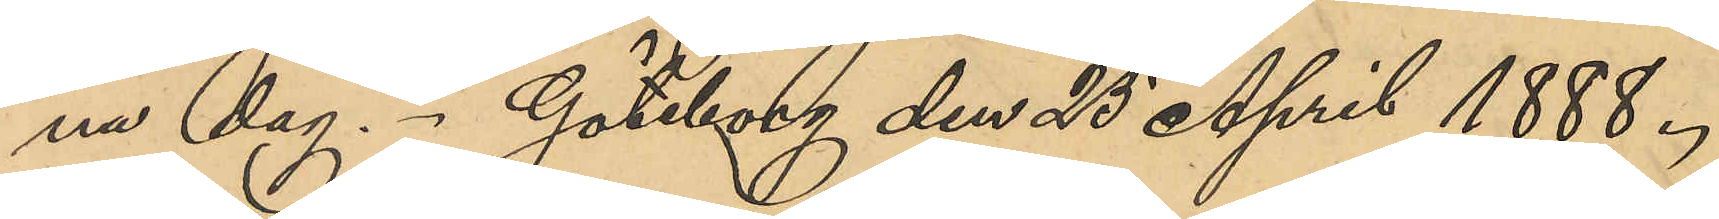na dag. Göteborg den 25 April 1888.
